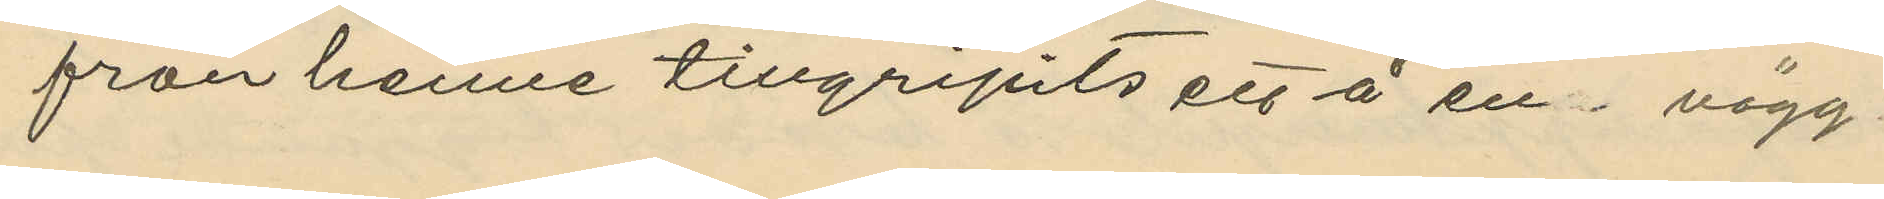från henne tillgripits ett å en vägg
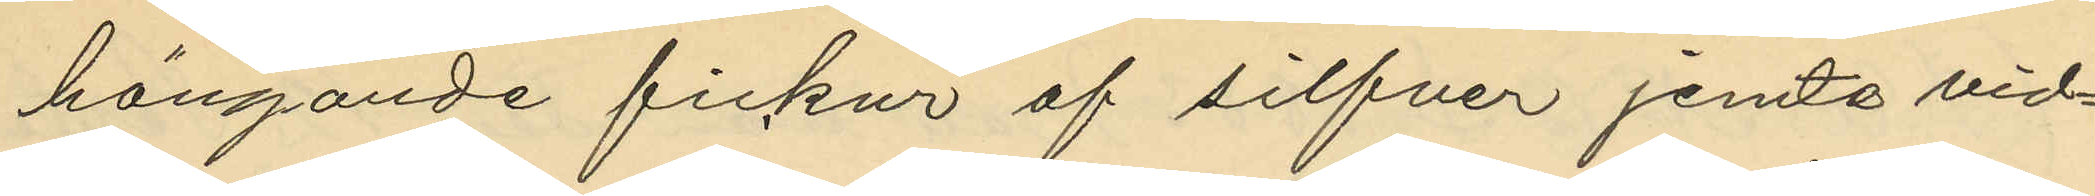hängande fickur af silfver jemte vid¬
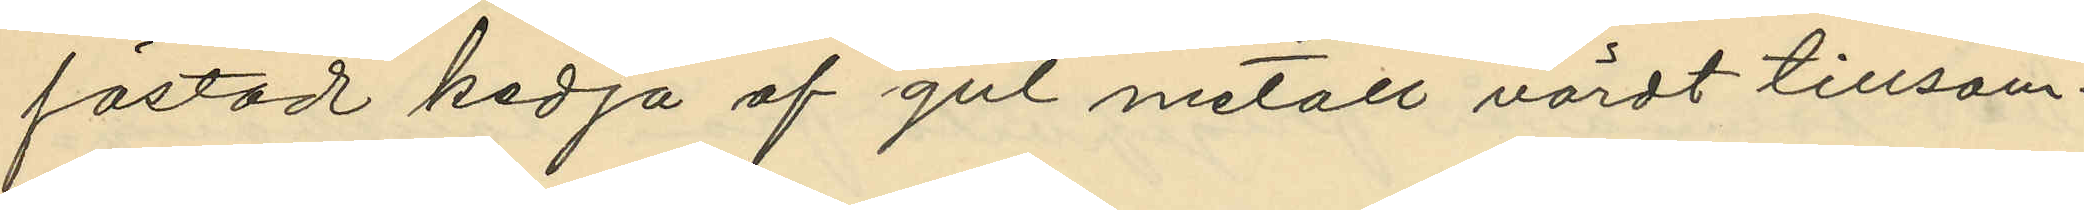fästad kedja af gul metall värdt tillsam¬
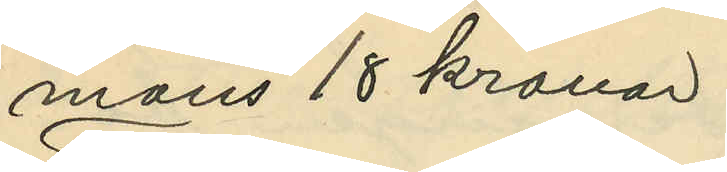mans 18 kronor.
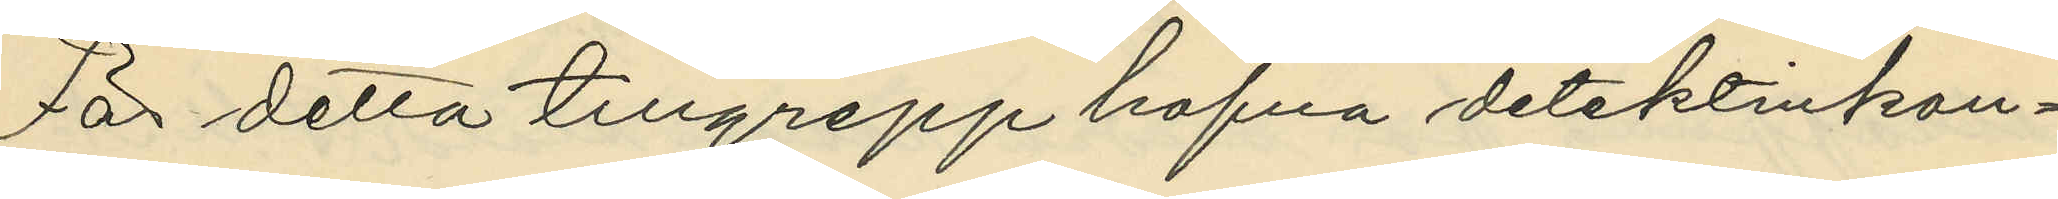För detta tillgrepp hafva detektivkon¬
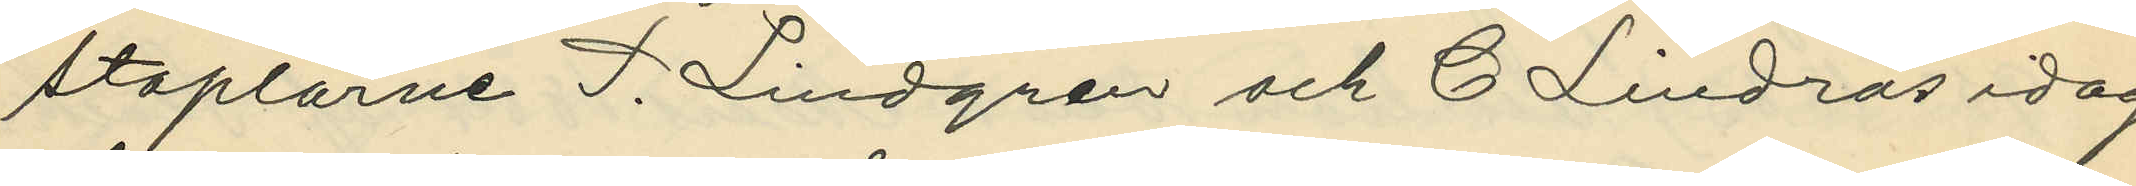staplarne P. Lindgren och C. Lindros idag
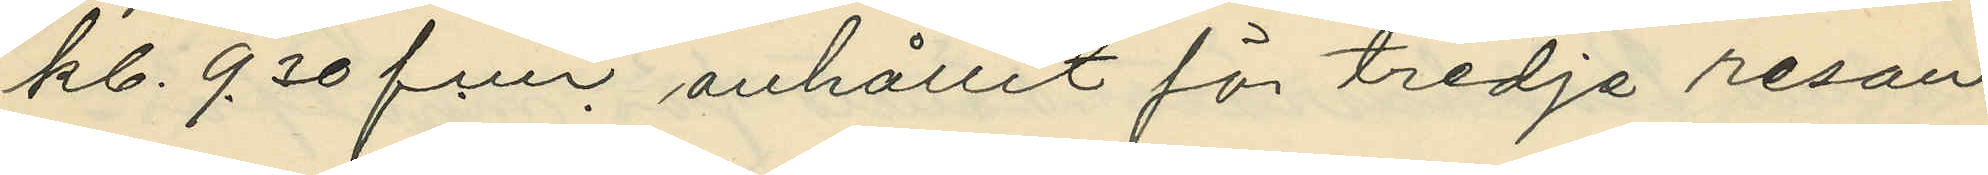kl. 9.30 f.m. anhållit för tredje resan
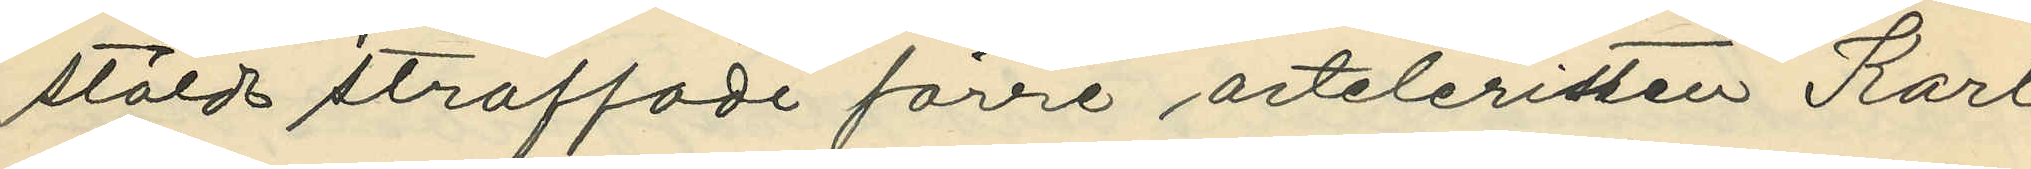stöld straffade förre arteleristen Karl
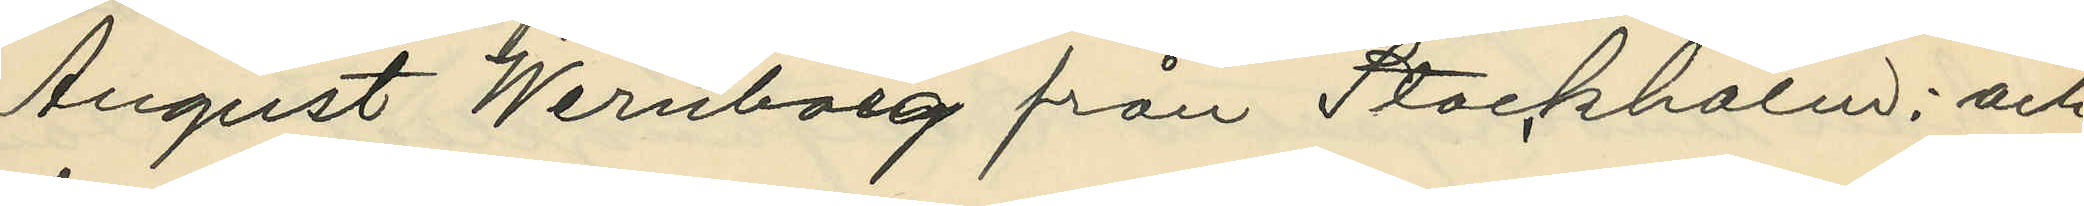August Wernborg från Stockholm; och
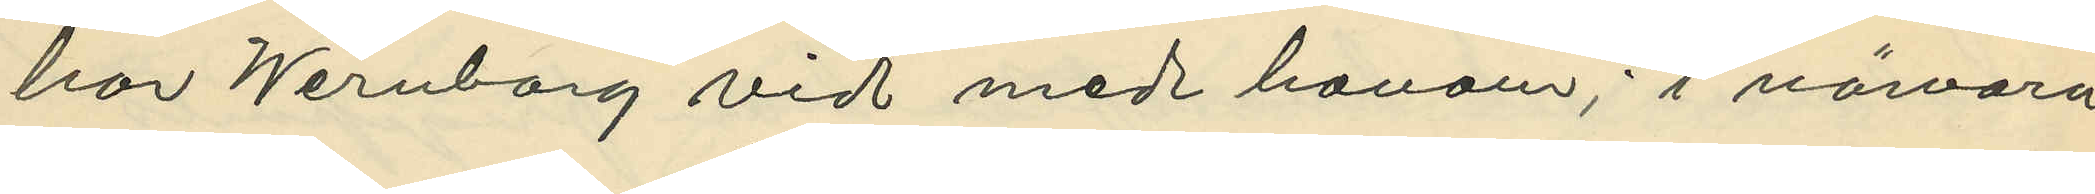har Wernborg vid med honom; i närvaro
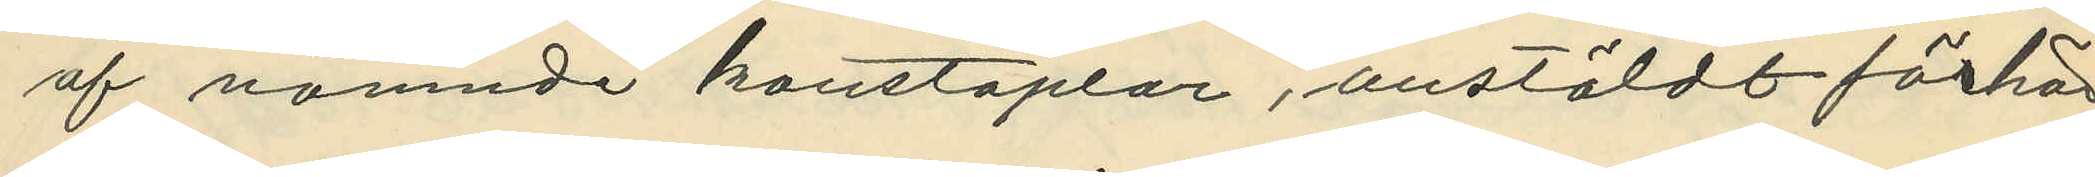af nämnde konstaplar, anstäldt förhör,
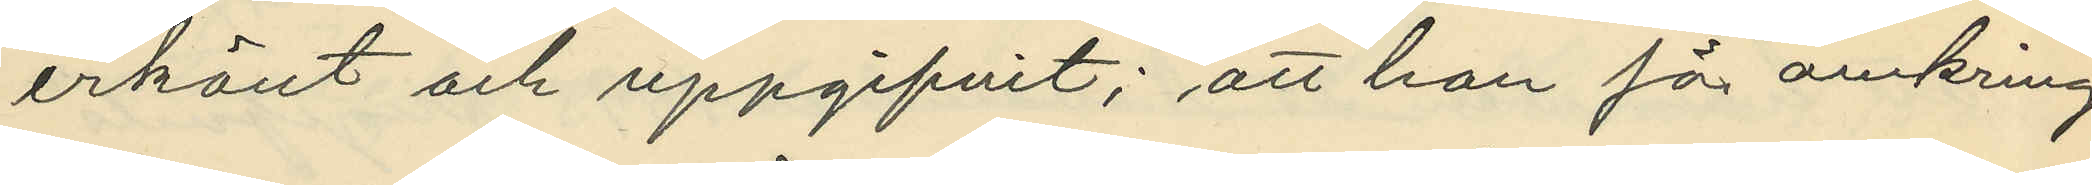erkänt och uppgifvit; att han för omkring
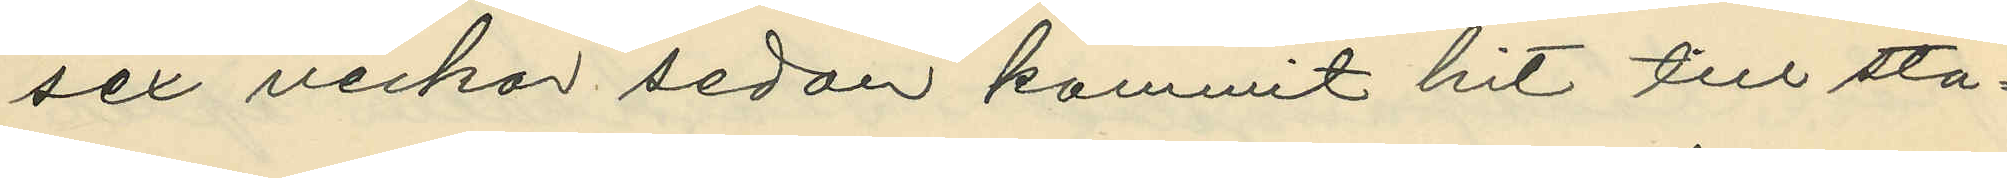sex veckor sedan kommit hit till sta¬
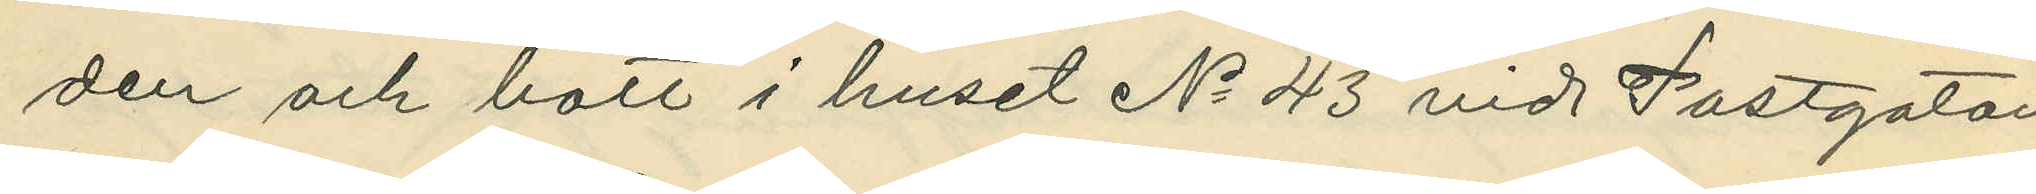den och bott i huset No 43 vid Postgatan
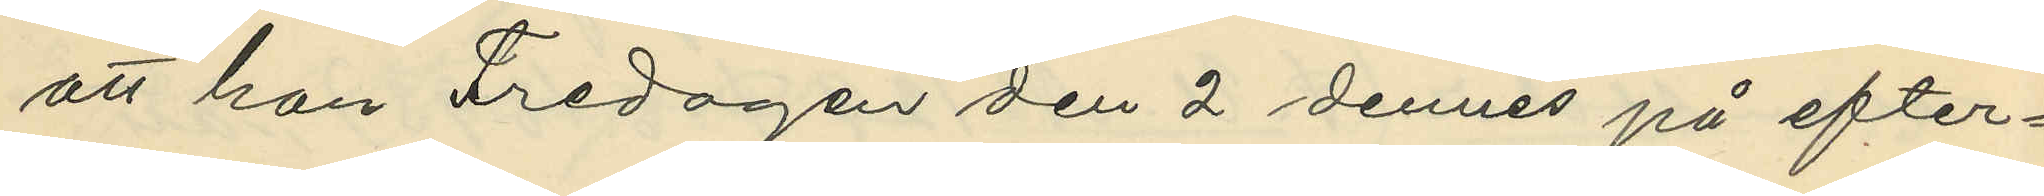att han Fredagen den 2 dennes på efter¬
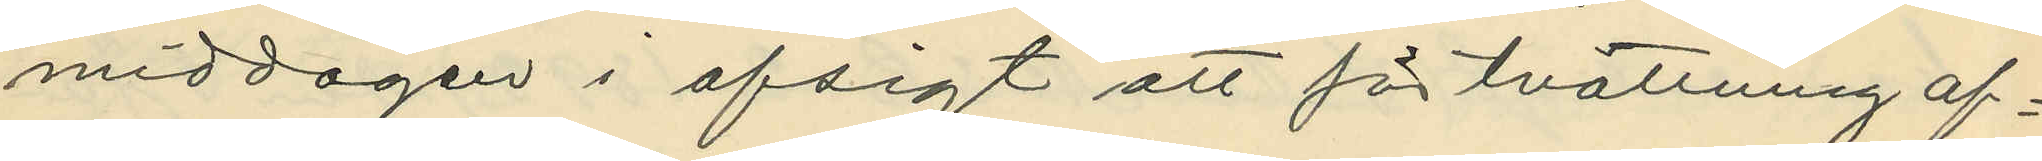middagen i afsigt att för tvättning af¬
